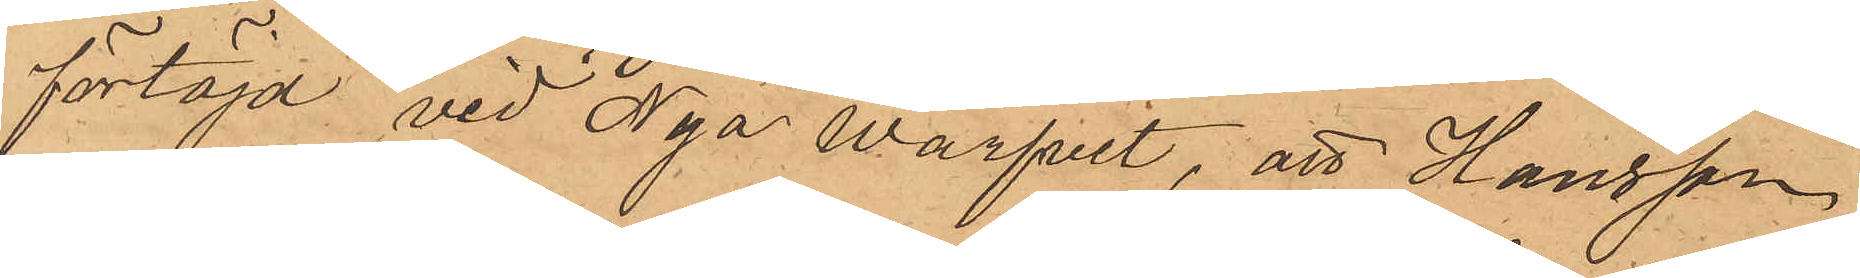förtöjd vid Nya Warfvet, att Hansson
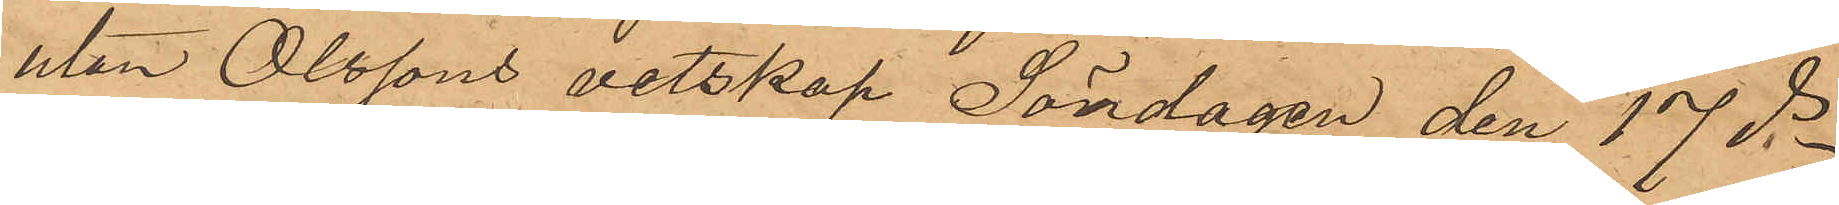utan Olssons vetskap Söndagen den 17 ds
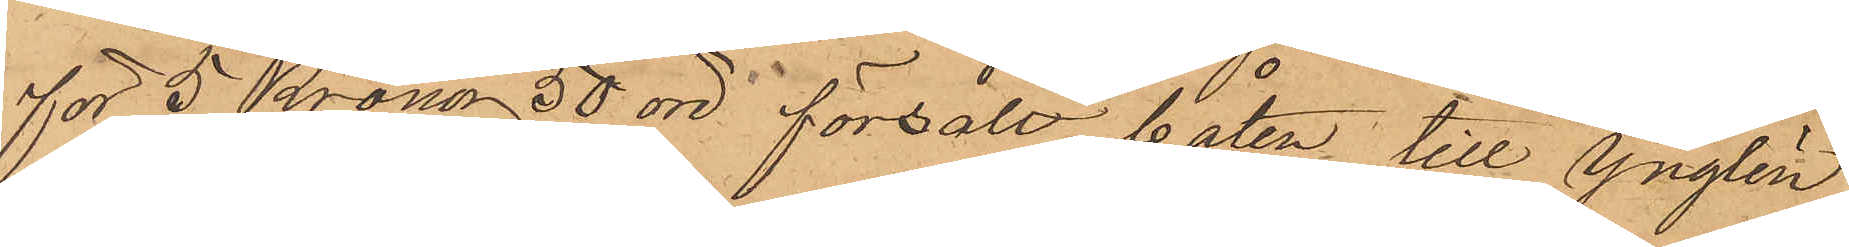för 5 Kronor 50 öre försålt båten till Ynglin¬
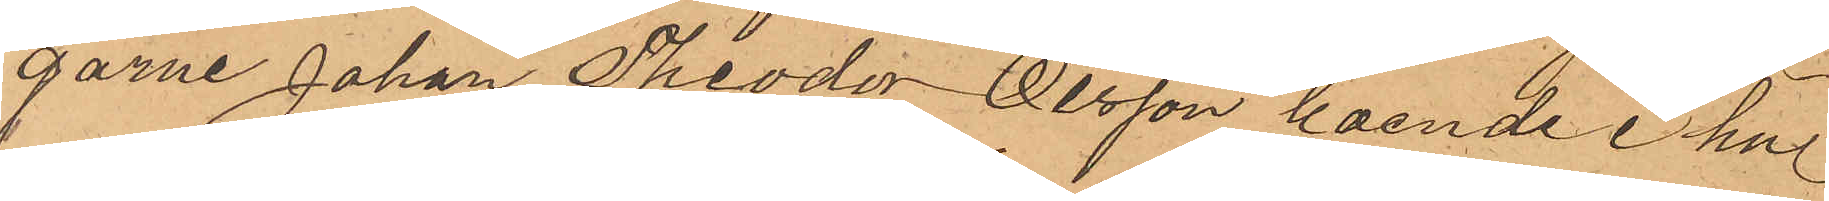garne Johan Theodor Olsson, boende i hus¬
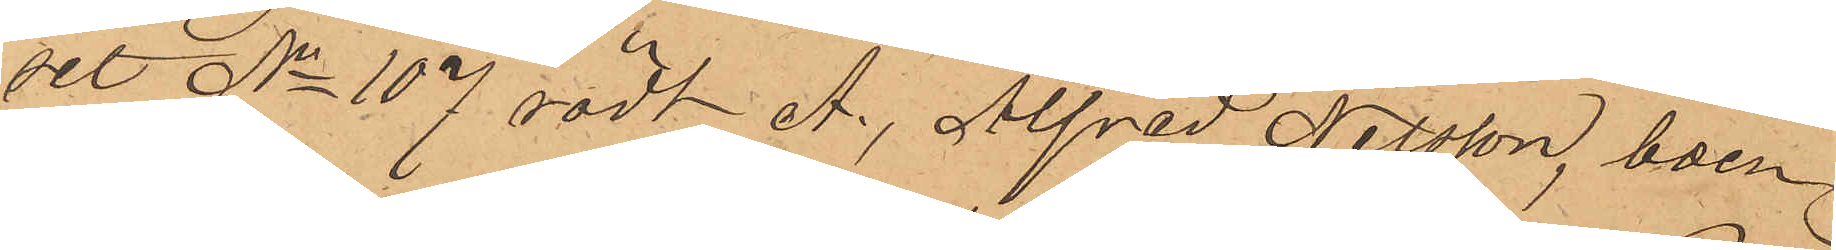set No 107 rödt A., Alfred Nilsson, boen¬
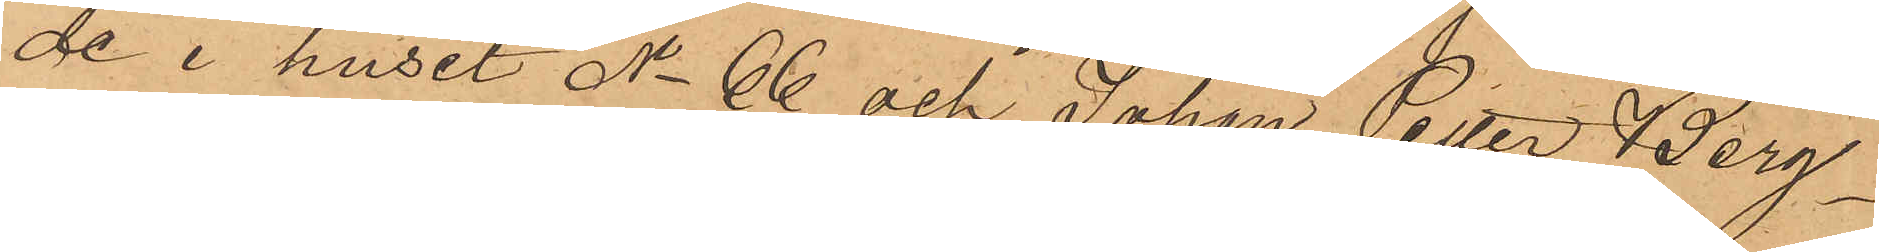de i huset No 66 och Johan Petter Berg¬
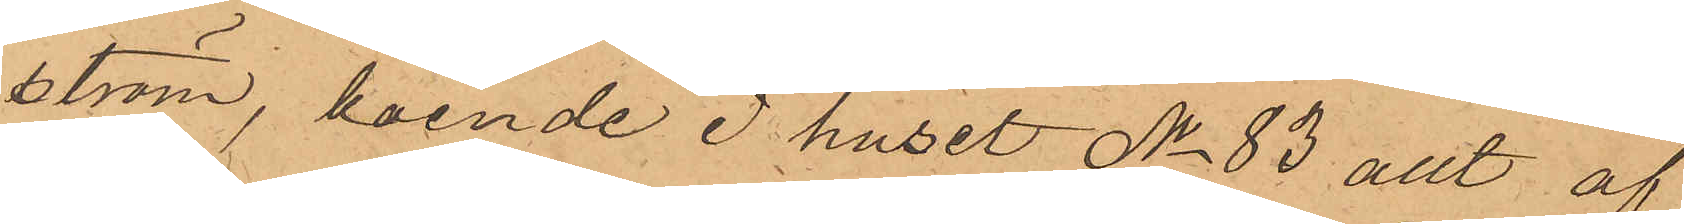ström, boende i huset No 83 allt af
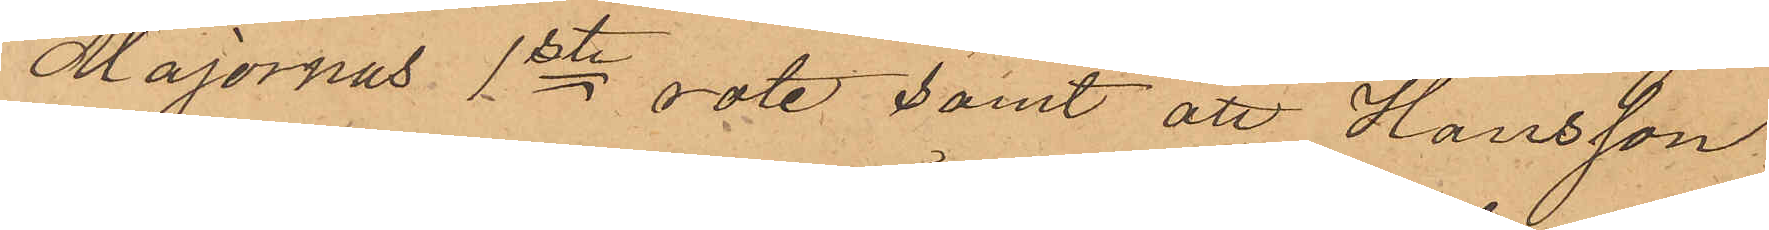Majornas 1ste rote samt att Hansson,
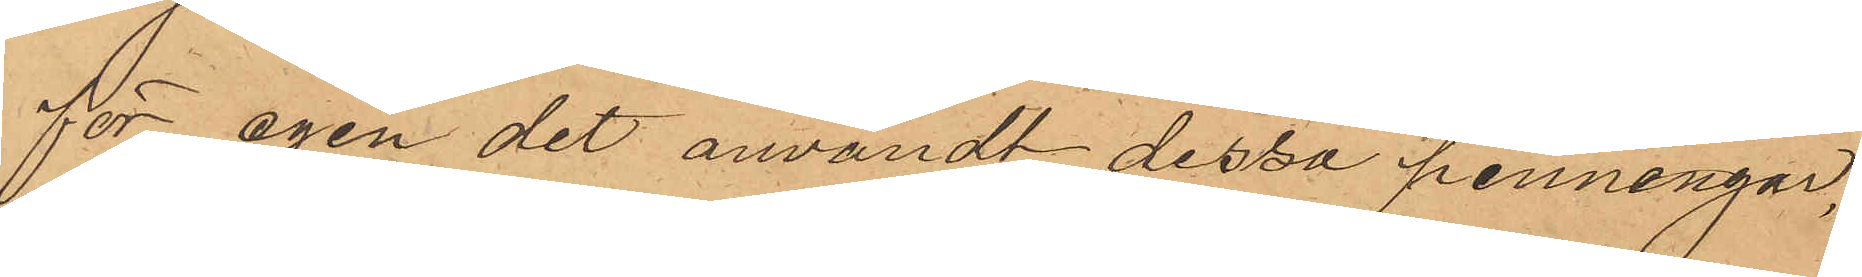för egen det användt dessa penningar,
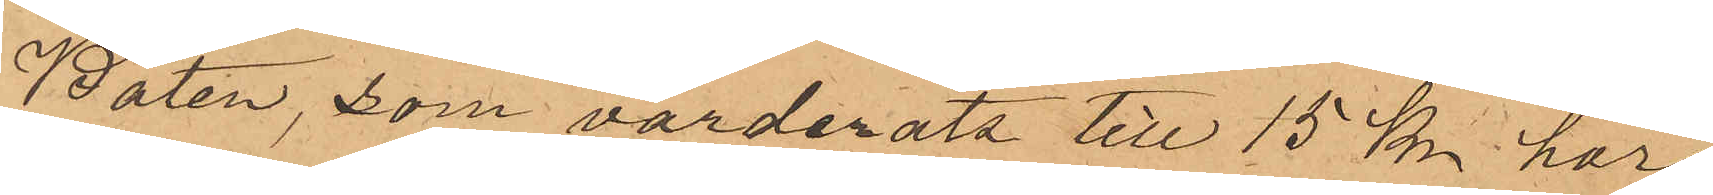Båten, som värderats till 15 kr har
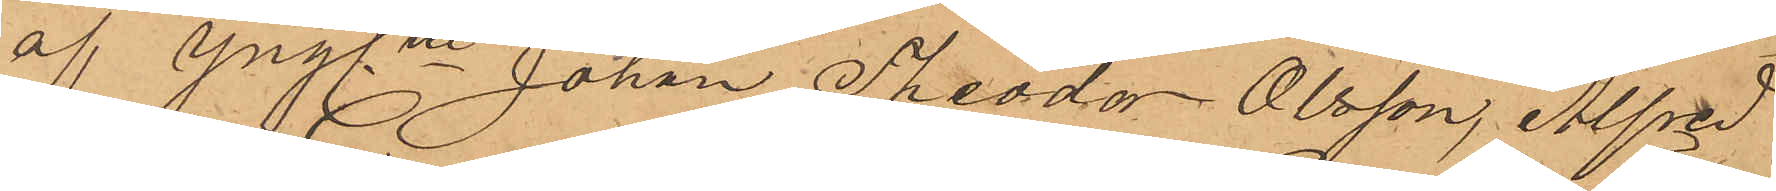af Ynglne Johan Theodor Olsson, Alfred
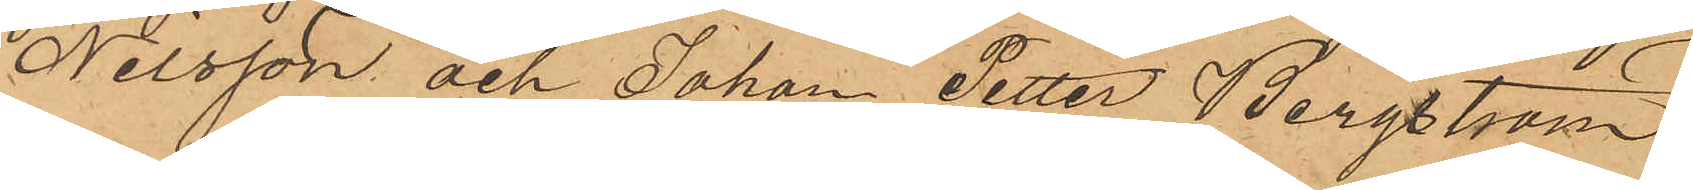Nilsson och Johan Petter Bergström
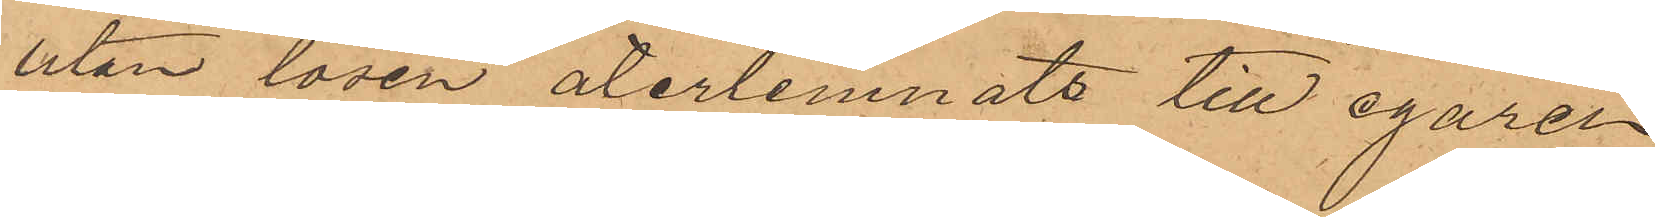utan lösen återlemnats till egaren
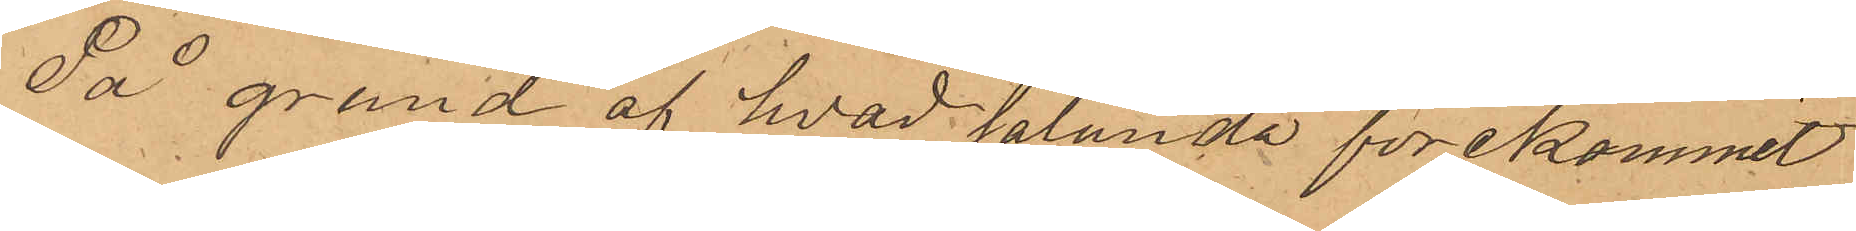På grund af hvad sålunda förekommit
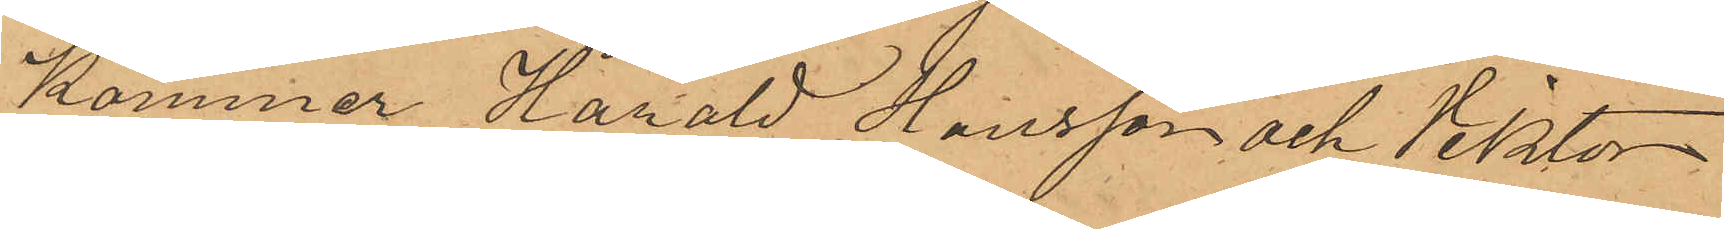kommer Harald Hansson och Viktor
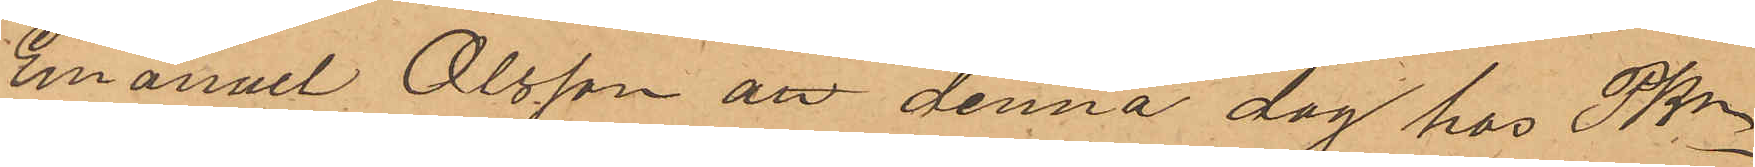Emanuel Olsson att denna dag hos Pkn
